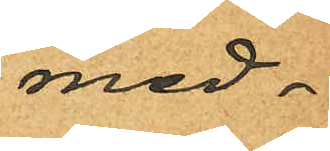med¬
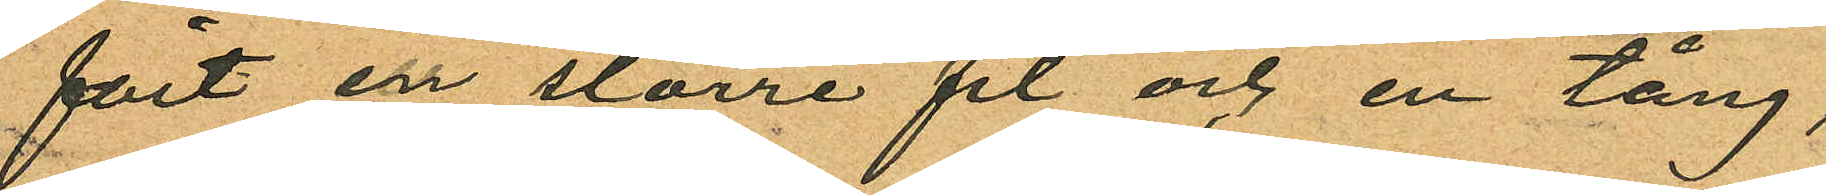fört en större fil och en tång,
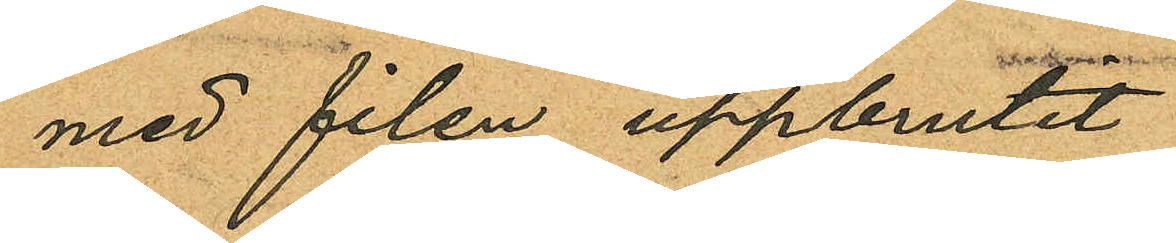med filen uppbrutit
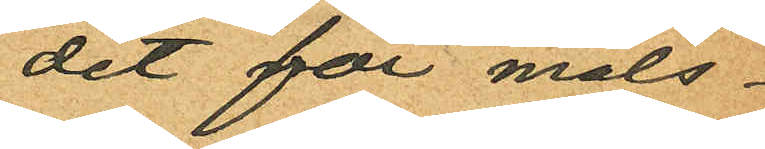det för måls¬
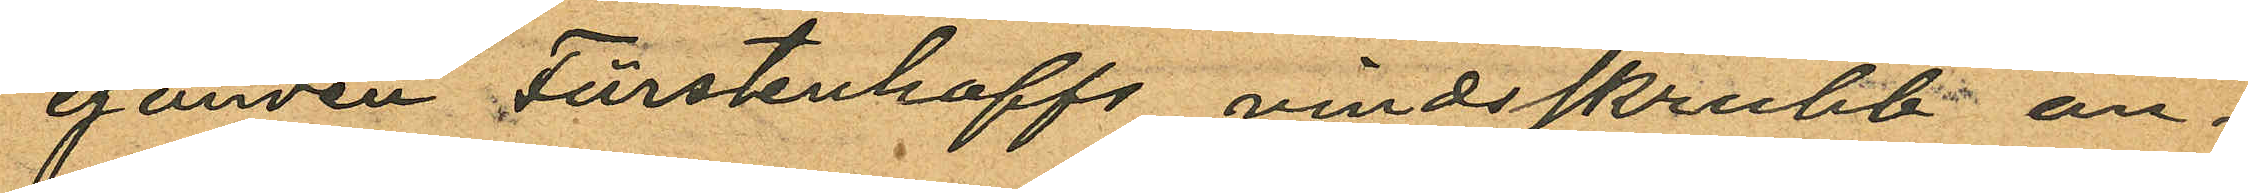eganden Fürstenhoffs vindsskrubb an¬
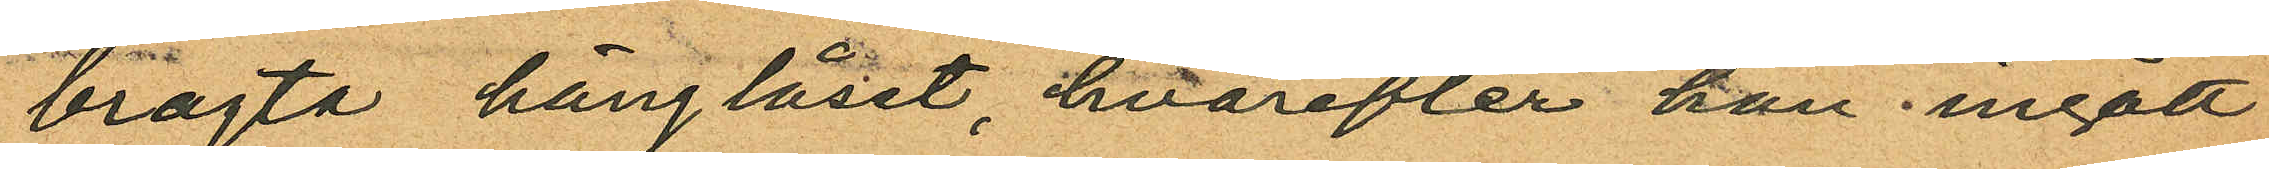bragta hänglåset, hvarefter han ingått
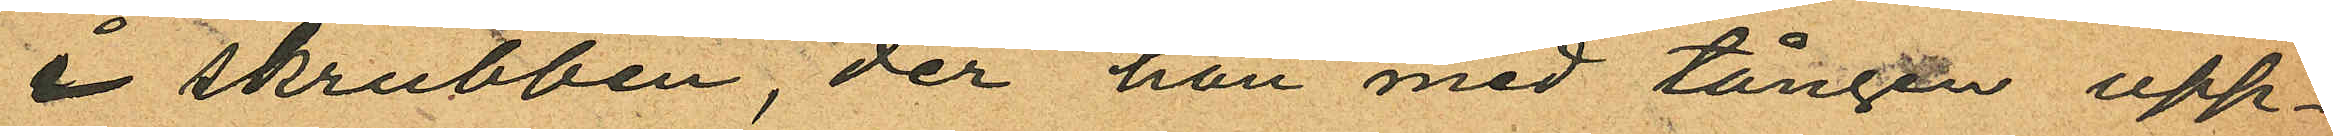i skrubben, der han med tången upp¬
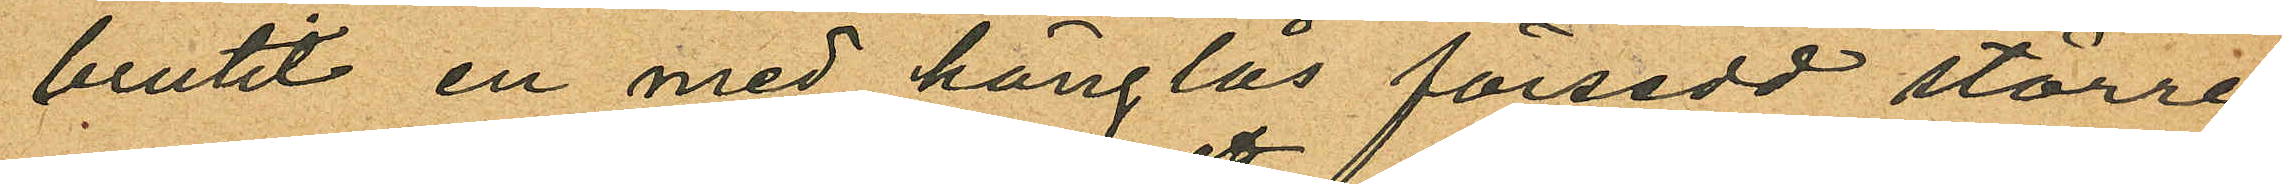brutit en med hänglås försedd större
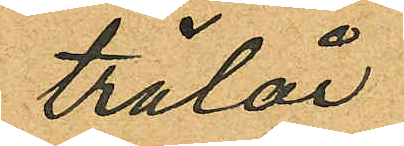trälår
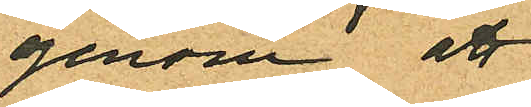genom att
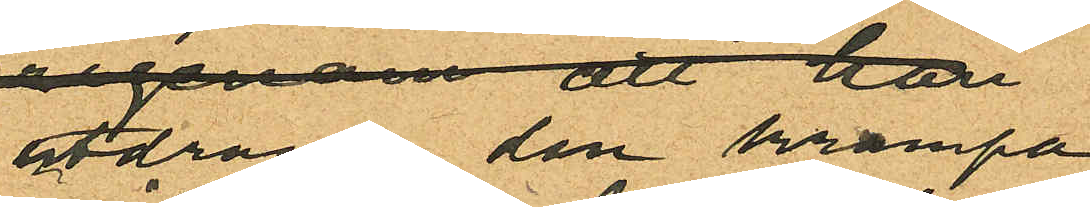utdraga den krampa
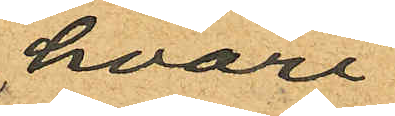hvari
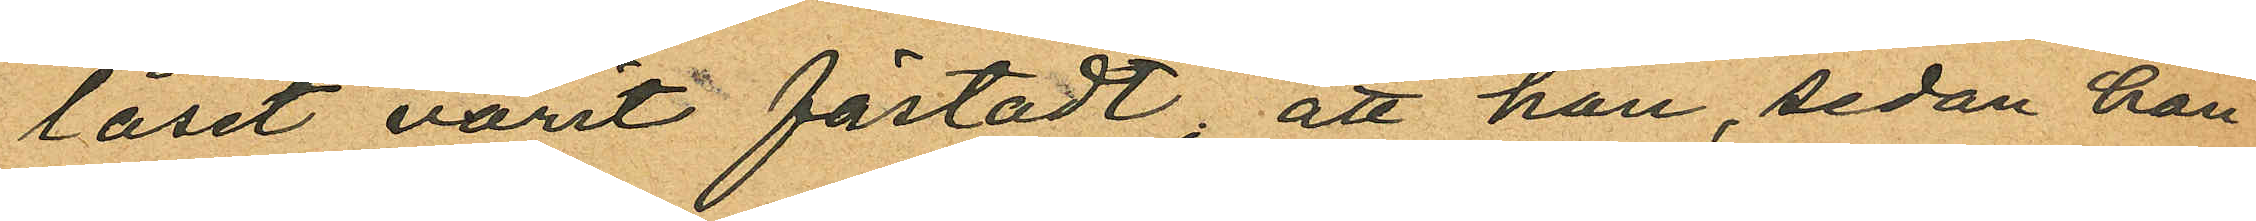låset varit fästadt; att han, sedan han
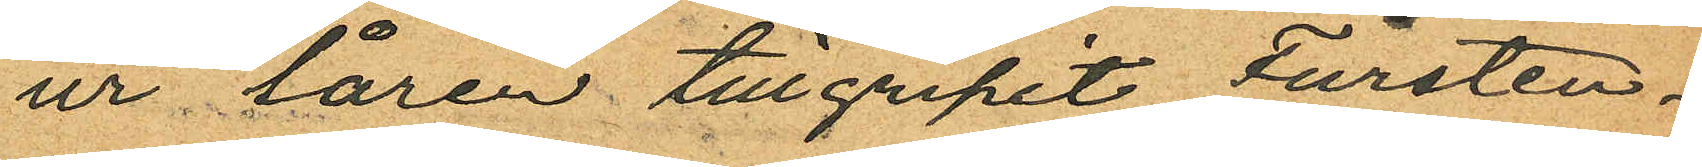ur låren tillgripit Fürsten¬
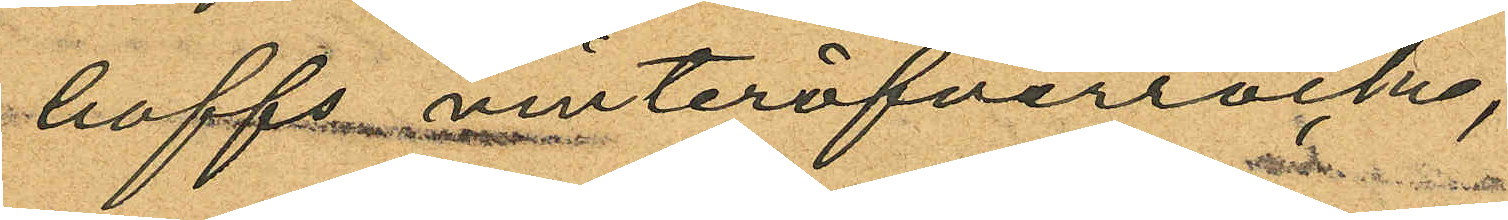hoffs vinteröfverrock,
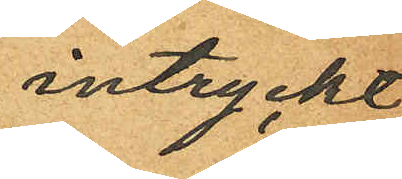intryckt
